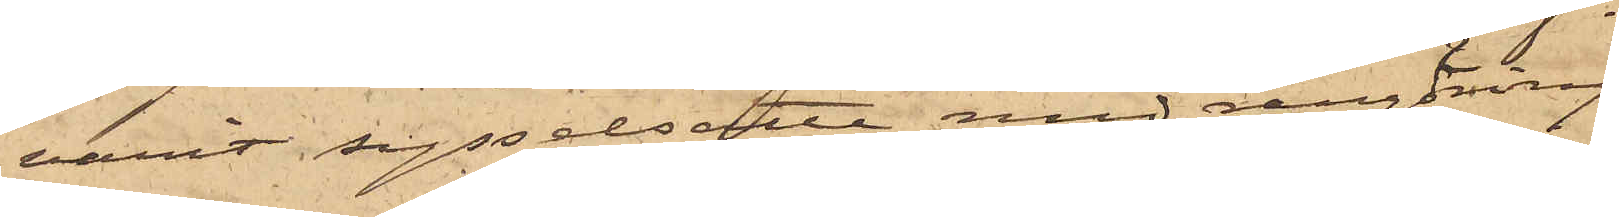varit sysselsatte med rengöring
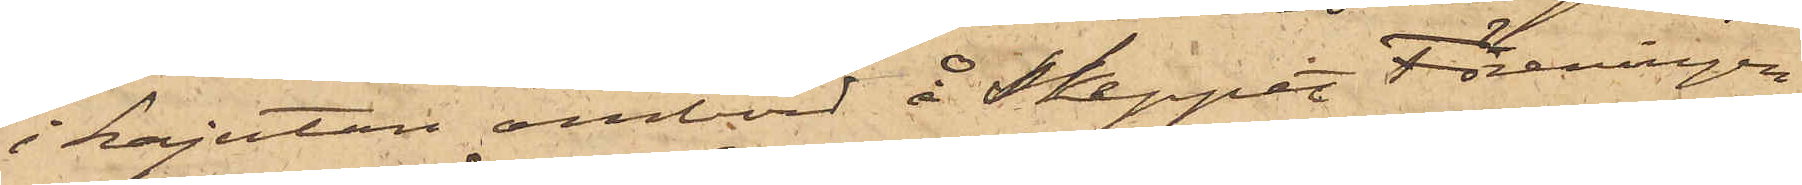i kajutan ombord å Skeppet Föreningen
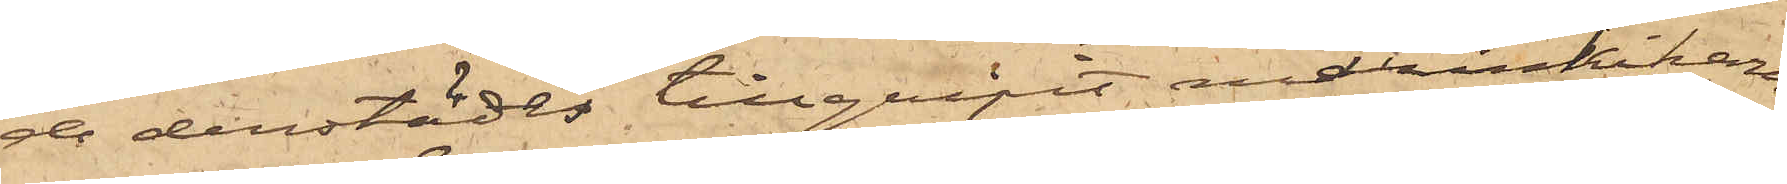de derstädes tillgripit marinkikaren,
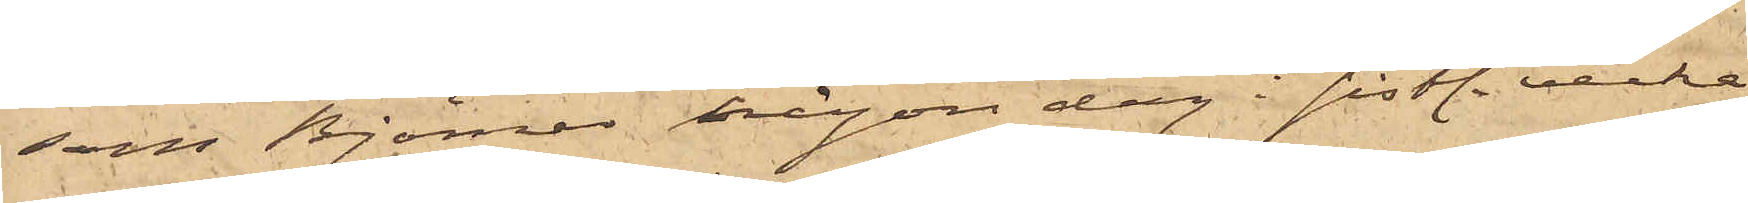som Björner någon dag i sistl. vecka
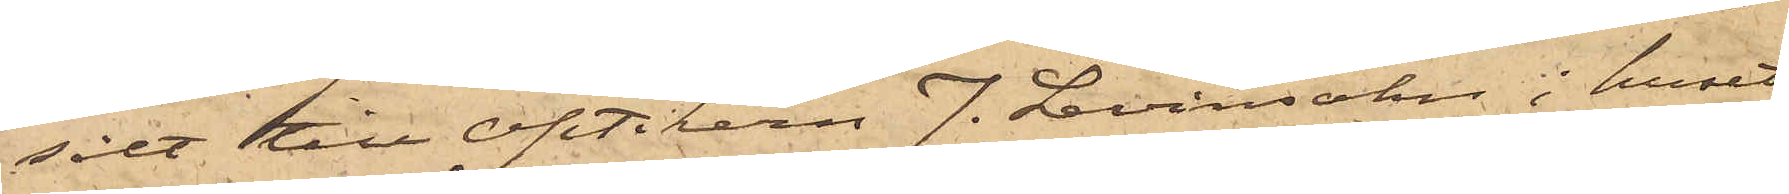sålt till Optikern J. Levinsohn i huset
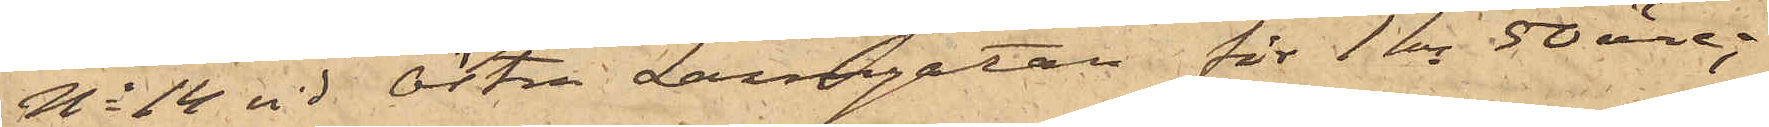No 14 vid Östra Larmgatan för 1 kr 50 öre;
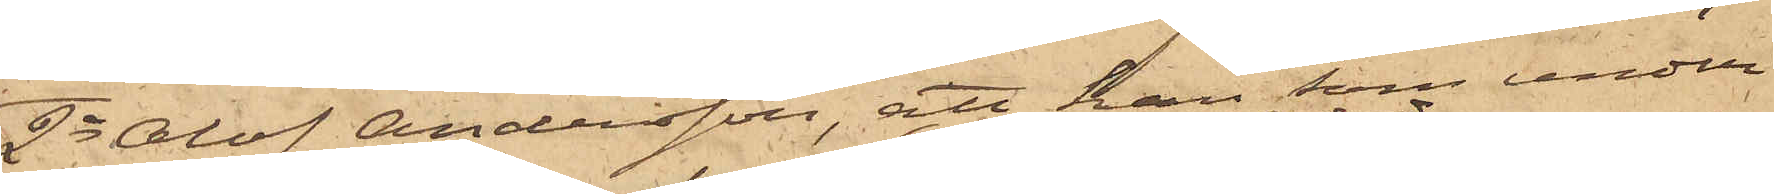2o Olof Andersson, att han, som under
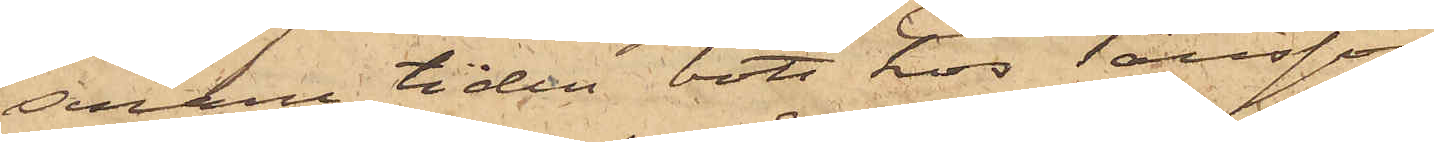senare tiden bott hos Tausson
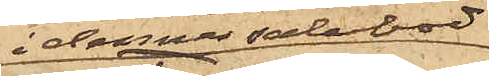i dennes salubod
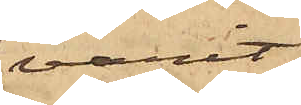varit
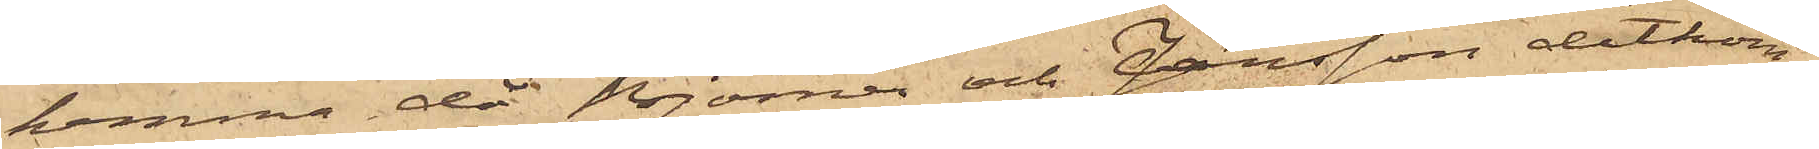hemma, då Björner och Jansson ditkom¬
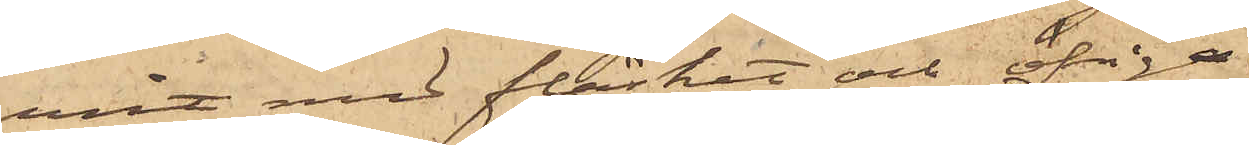mit med fläsket och öfriga
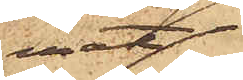mat¬
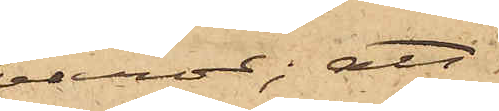varor; att
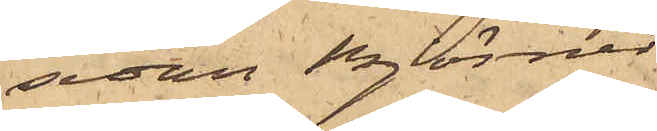sedan Björner
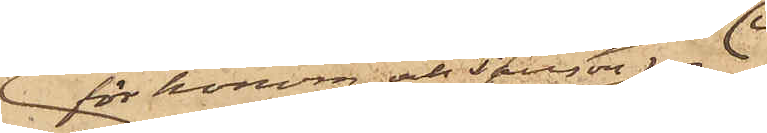för honom och Tausson 
